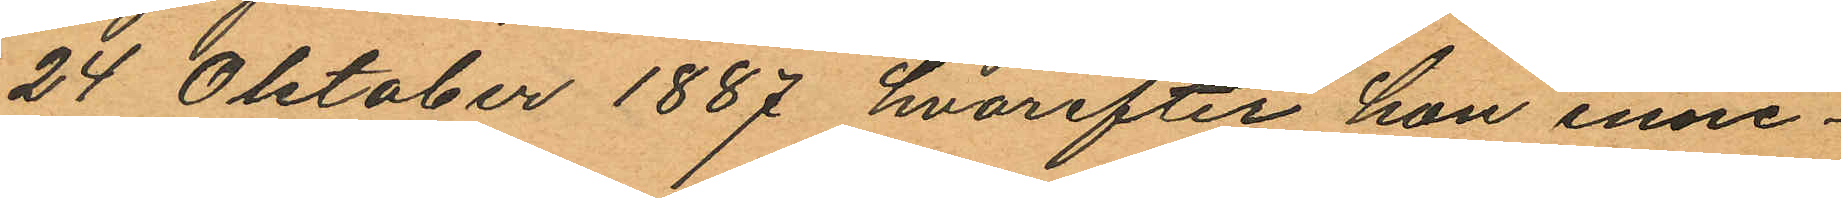24 Oktober 1887 hvarefter hon inne¬
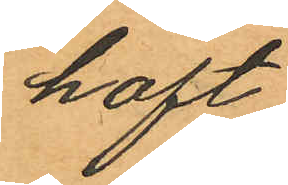haft
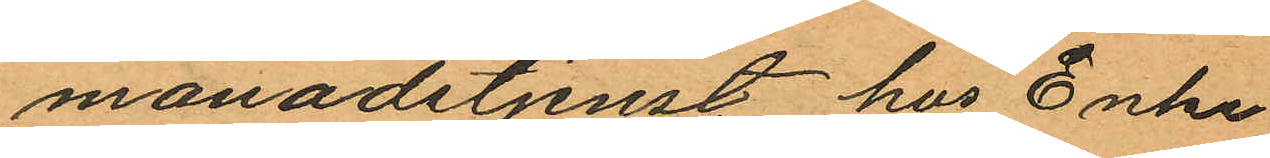månadstjenst hos Enke¬
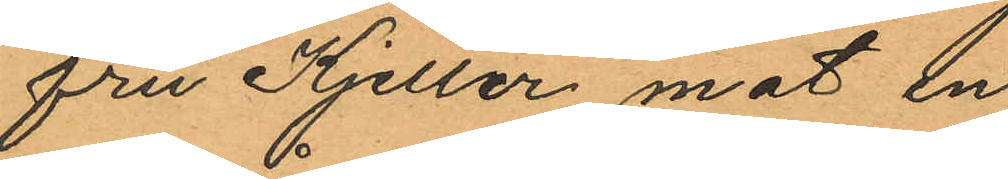fru Kjeller mot en
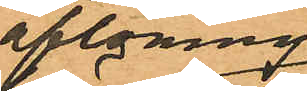aflöning
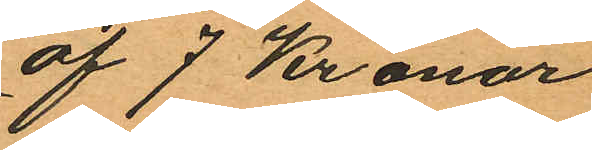af 7 Kronor
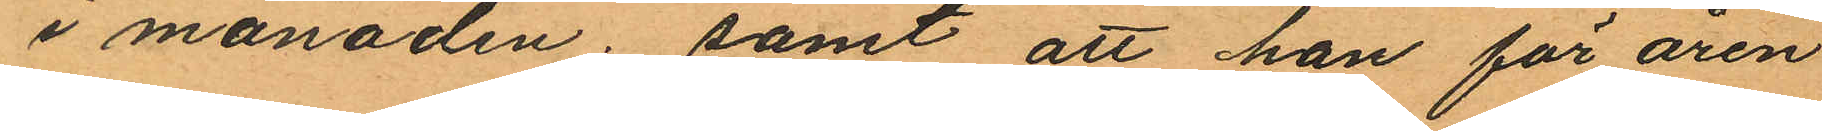i månaden; samt att hon för åren
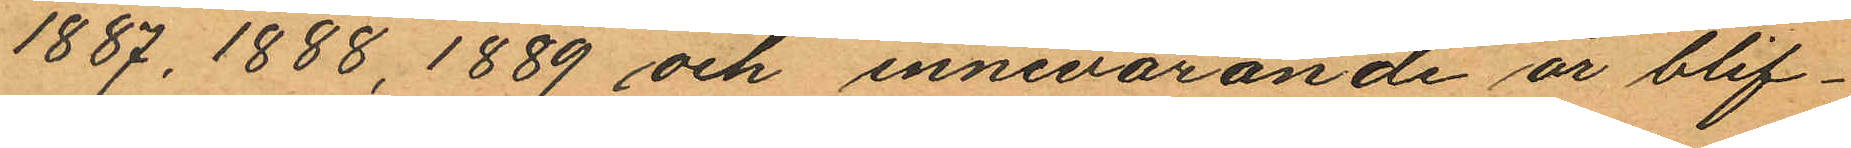1887, 1888, 1889 och innevarande är blif¬
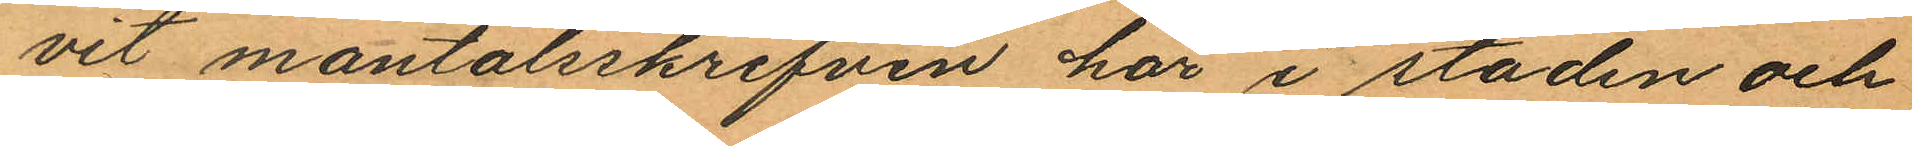vit mantalsskrifven här i staden och
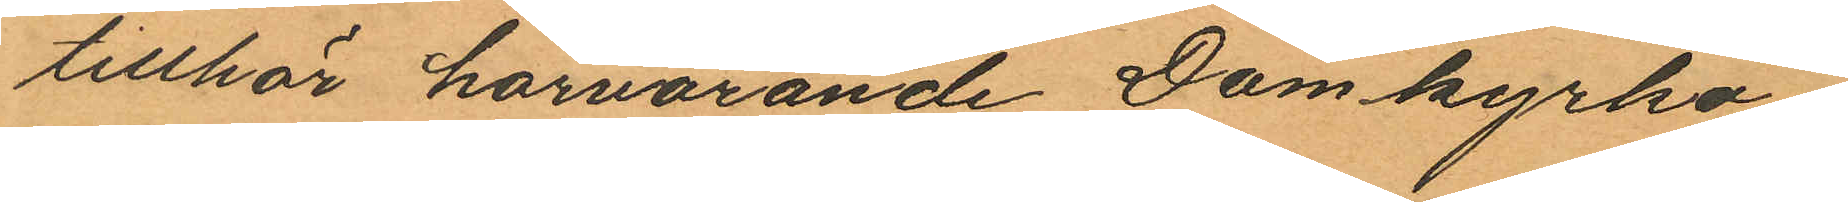tillhör härvarande Domkyrko¬
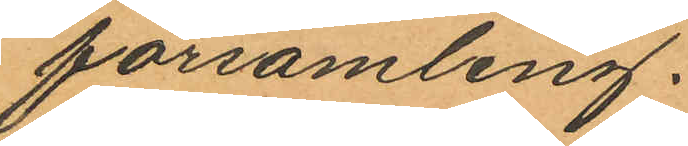församling.
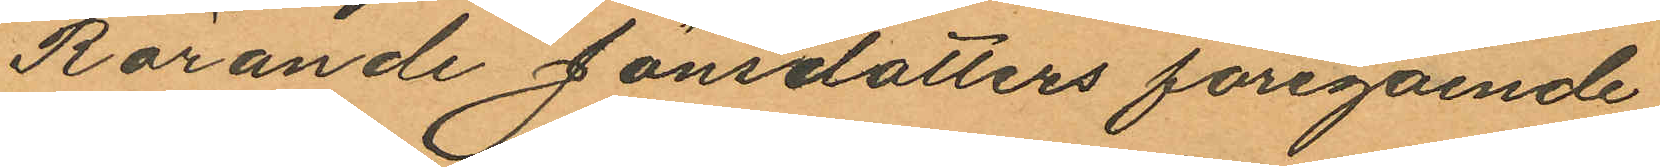Rörande Jönsdotters föregående
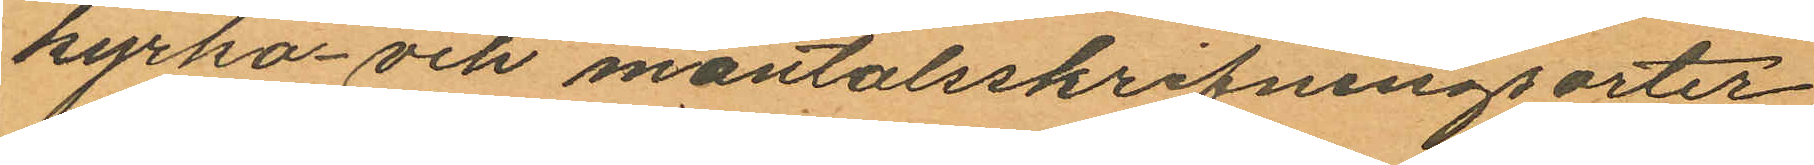kyrko- och mantalsskrifningsorter
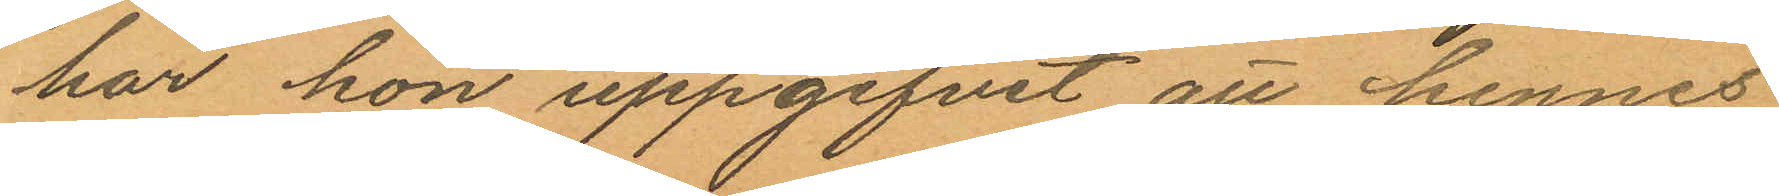har hon uppgifvit att hennes
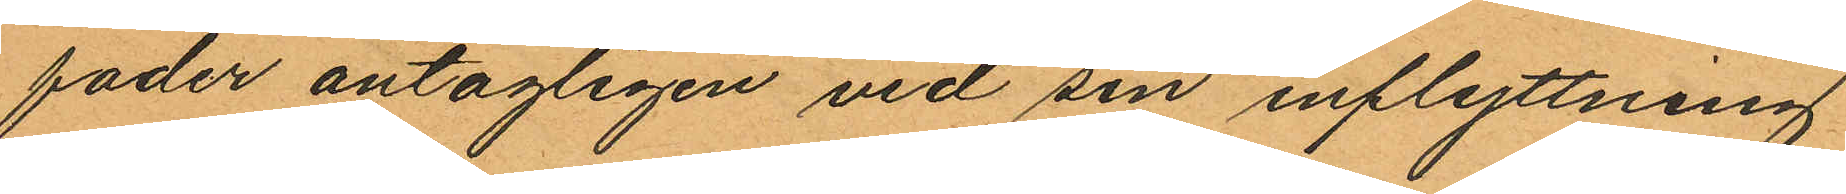fader antagligen vid sin inflyttning
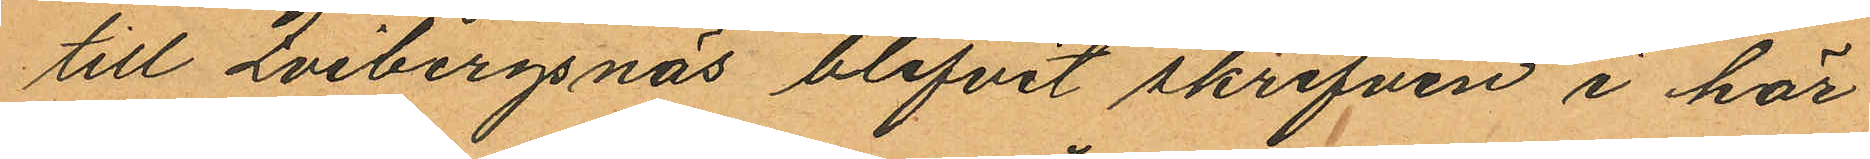till Qvibergsnäs blifvit skrifven i här¬
